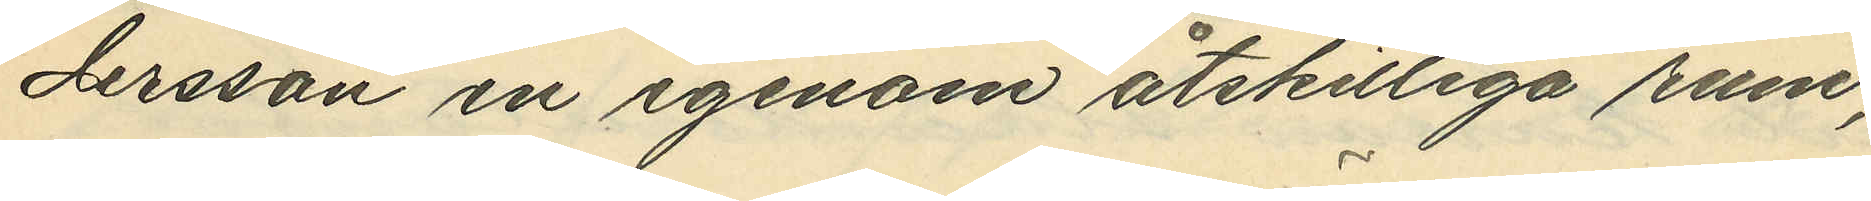dersson in igenom åtskilliga rum;
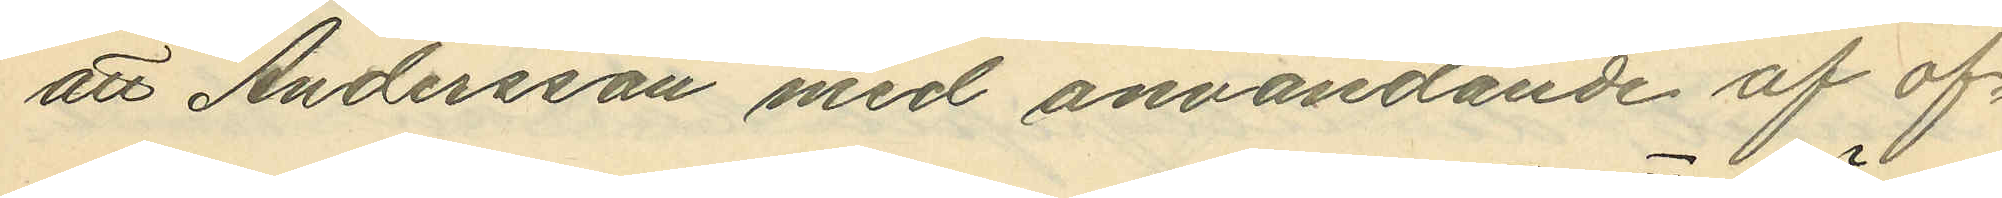att Andersson med användande af of¬
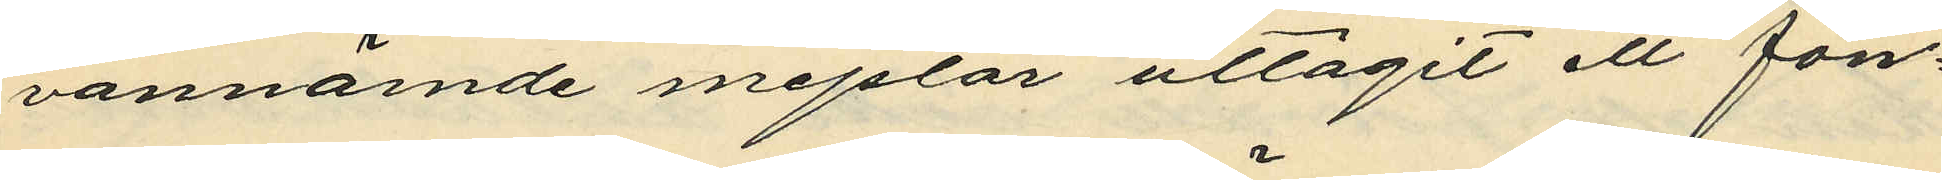vannämde mejslar uttagit ett fön¬
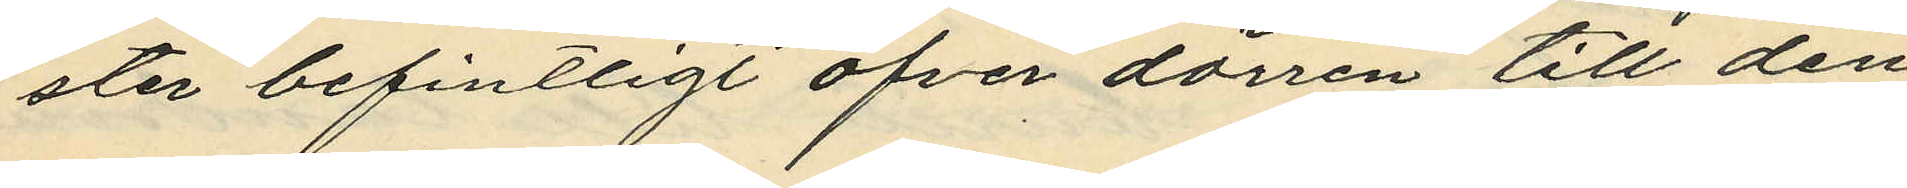ster befintligt öfver dörren till den
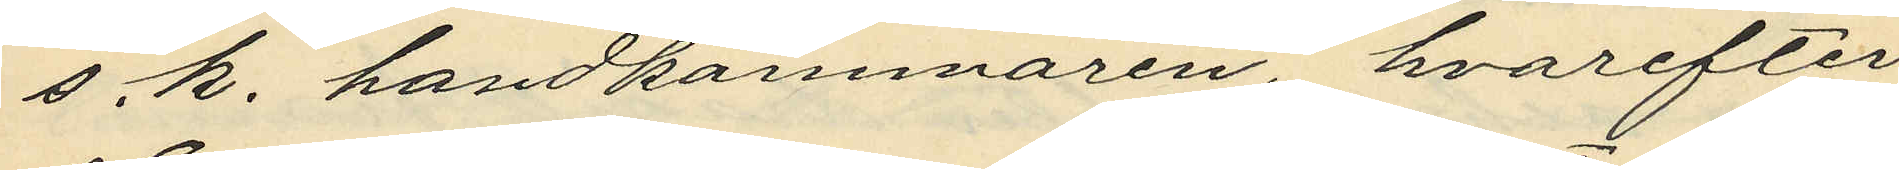s.k. handkammaren hvarefter
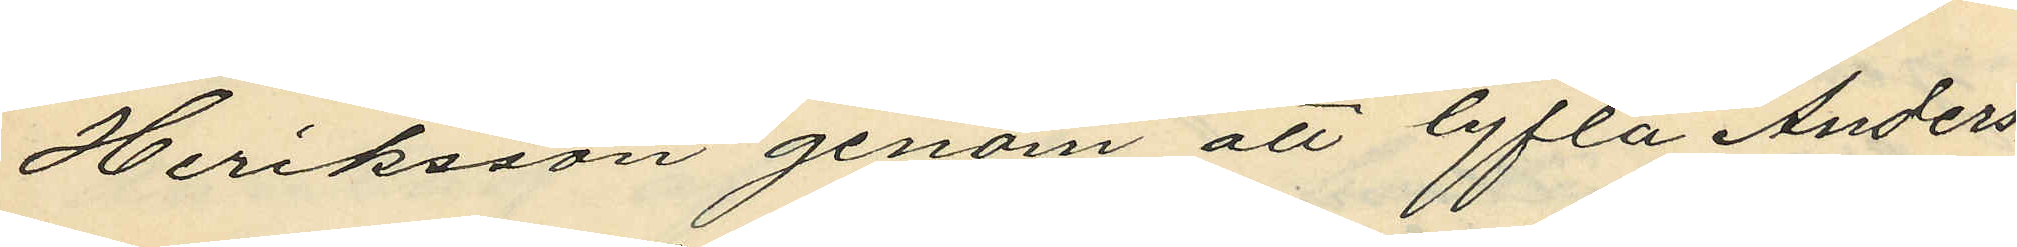Heriksson genom att lyfta Anders¬
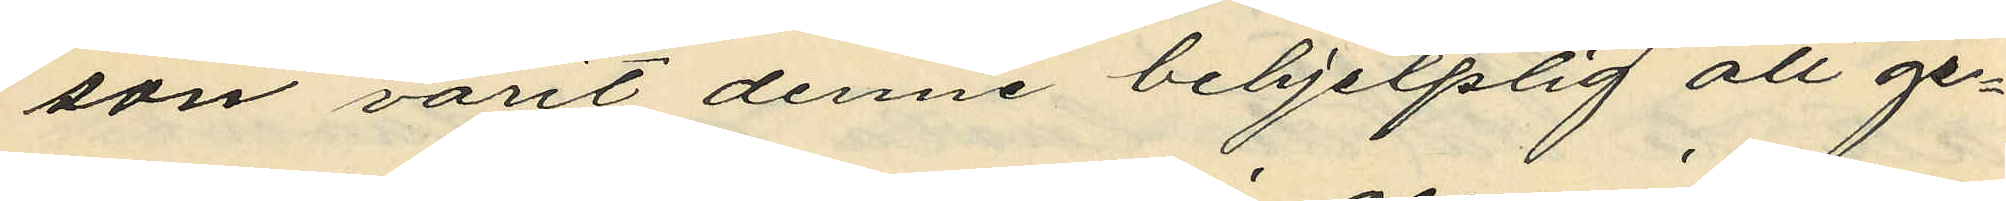son varit denne behjelplig att ge¬
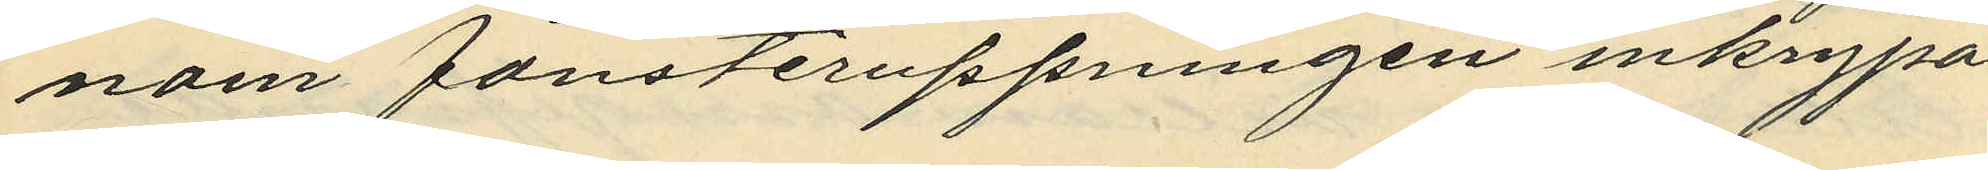nom fönsteruppningen inkrypa
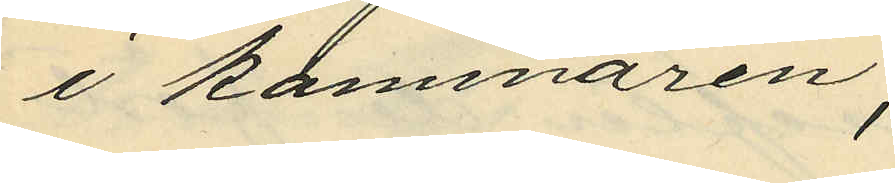i kammaren;
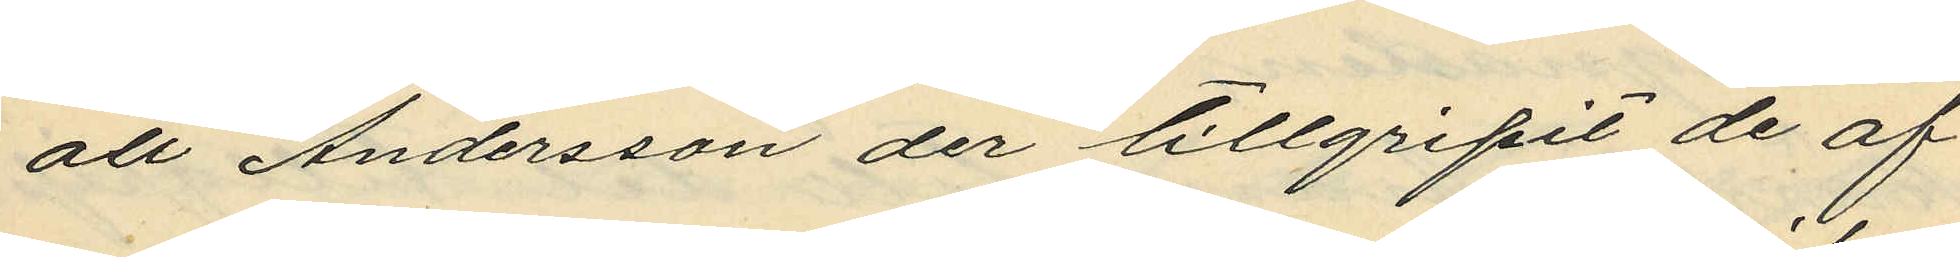att Andersson der tillgripit de af
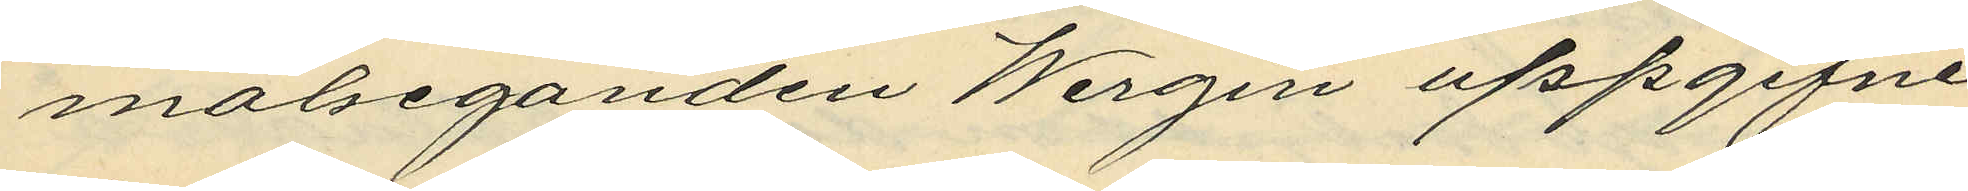målseganden Wirgin uppgifne
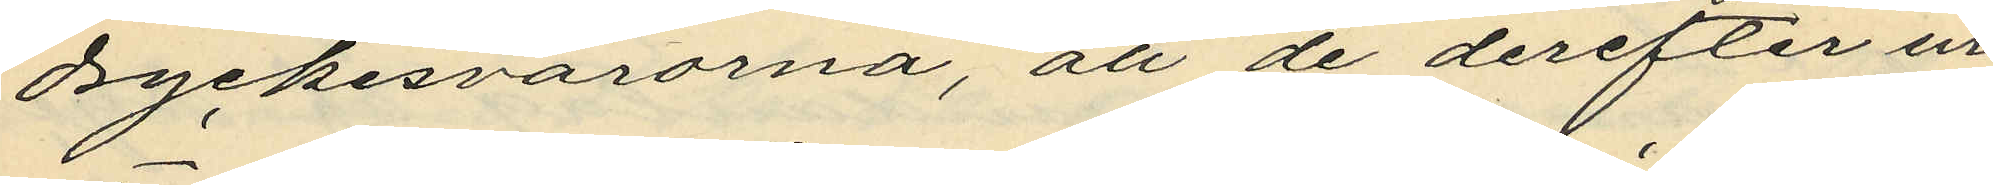dryckesvarorna, att de derefter ur
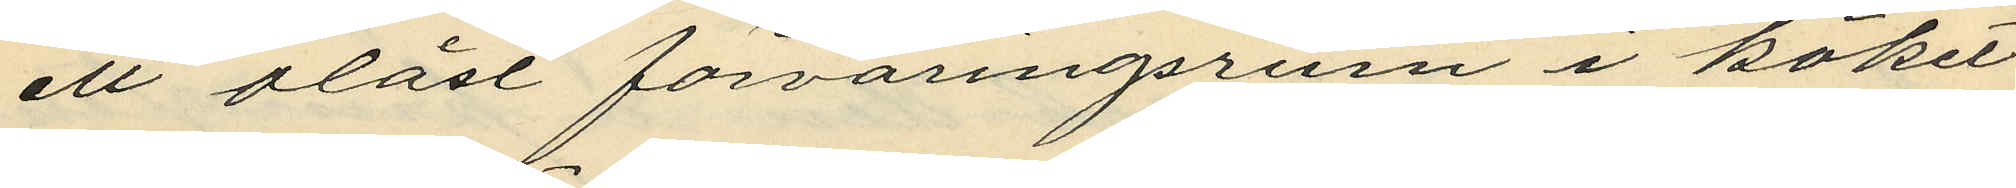ett olåst förvaringsrum i köket
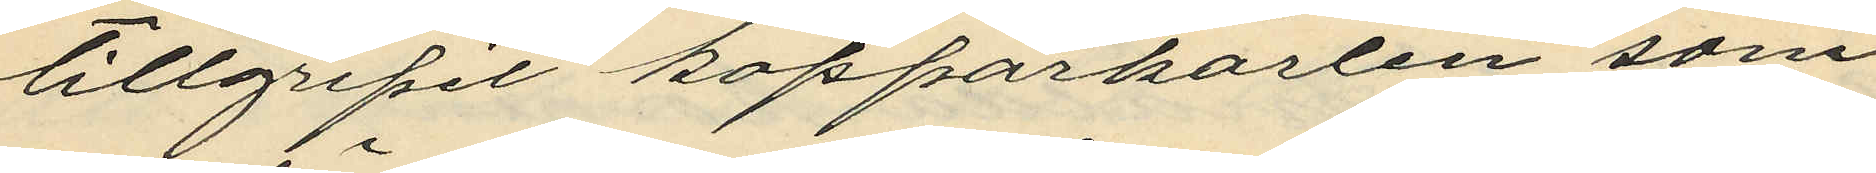tillgripit kopparkärlen som
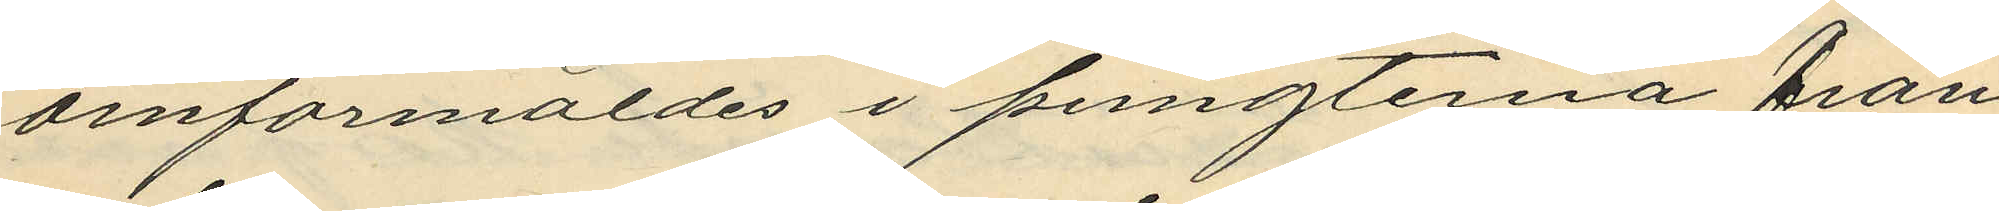omförmäldes i pungterna från
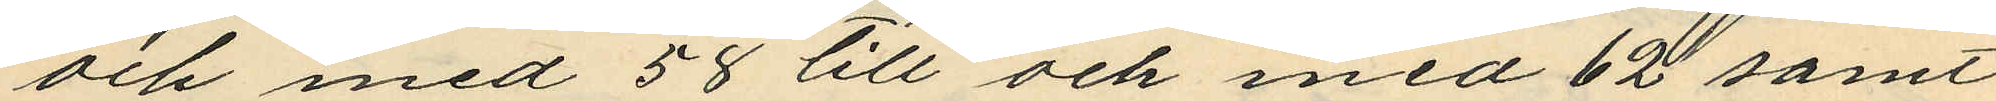och med 58 till och med 62 samt
